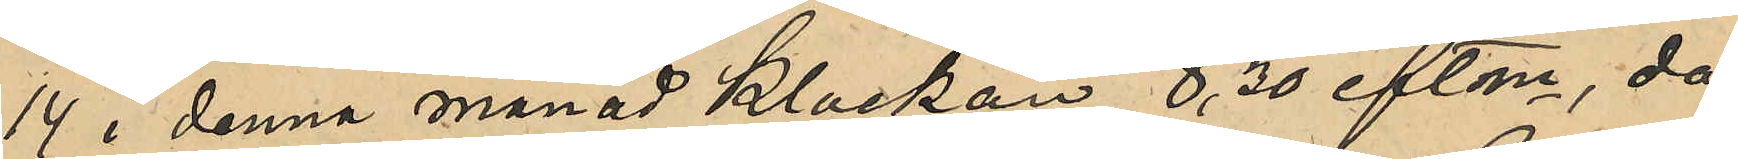14 i denna månad Klockan 8,30 eftm, då
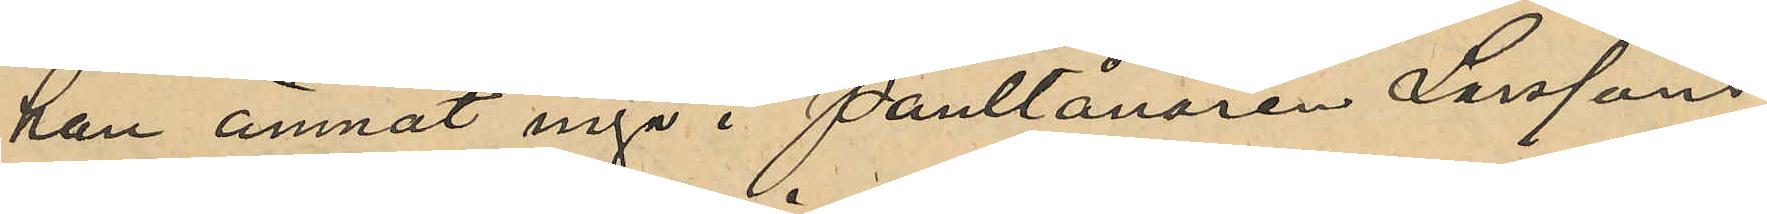han ämnat ingå i Pantlånaren Larssons
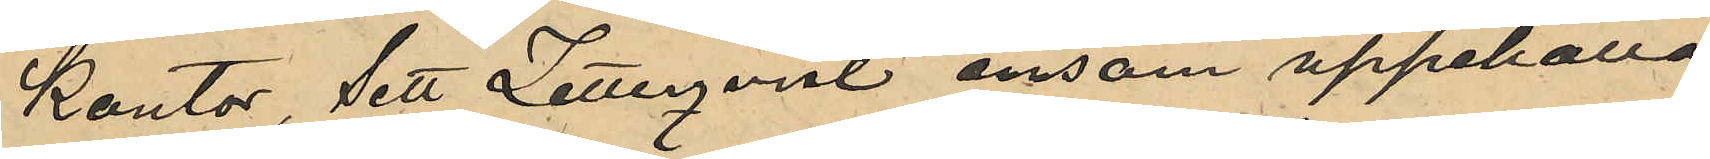kontor, sett Zetterqvist ensam uppehålla
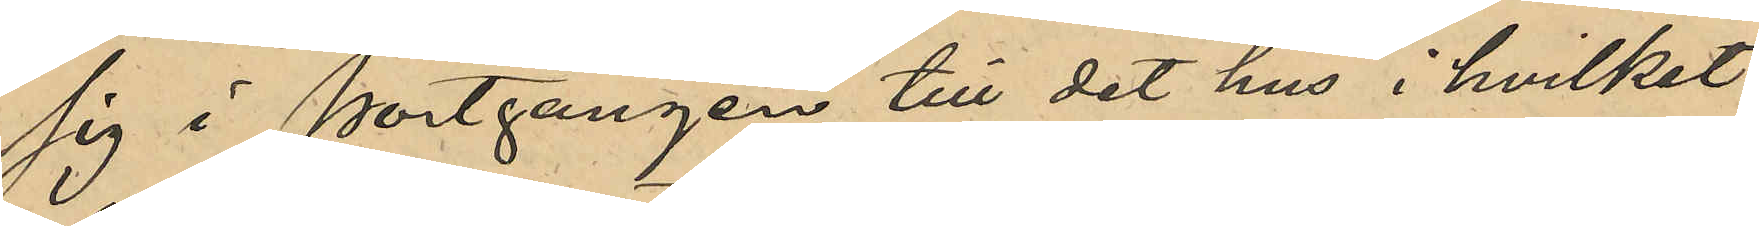sig i portgången till det hus i hvilket
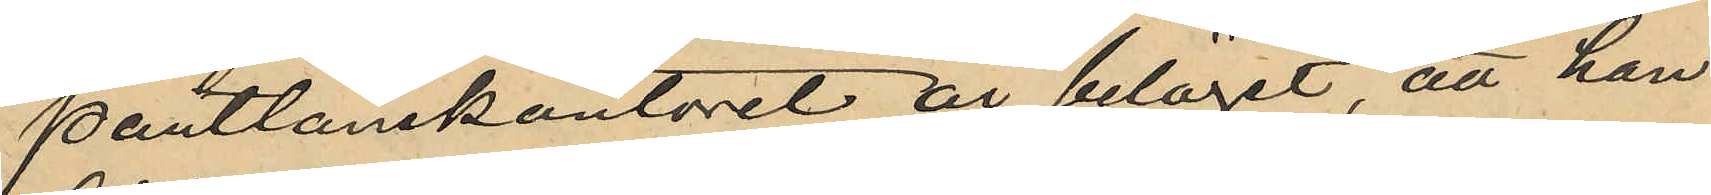pantlånekontoret är beläget, att han
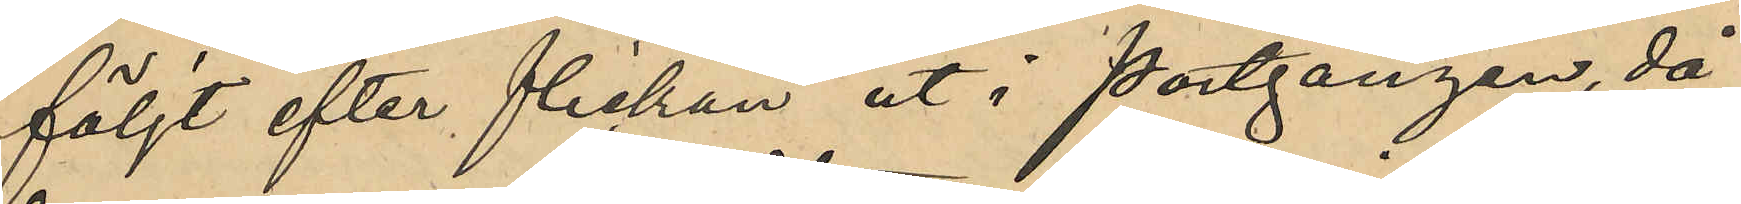följt efter flickan ut i portgången, då
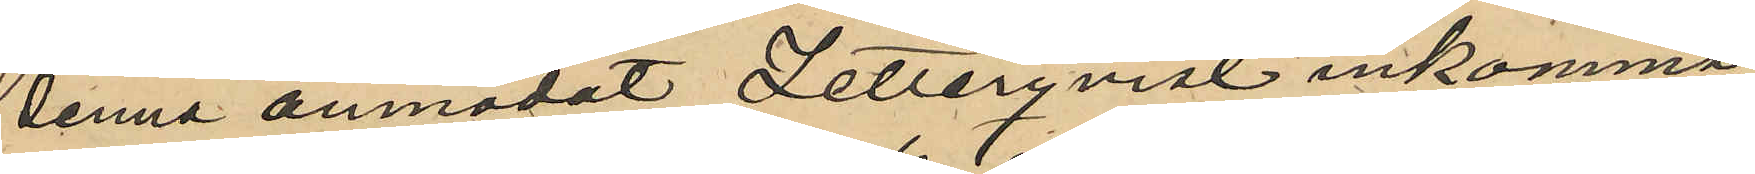denna anmodat Zetterqvist inkomma
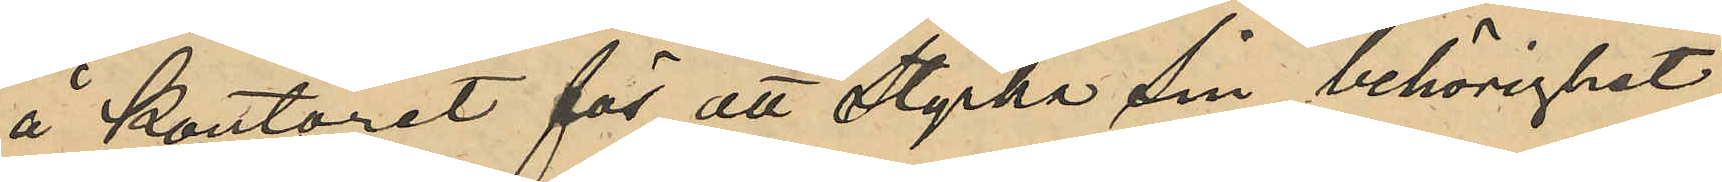å kontoret för att styrka sin behörighet
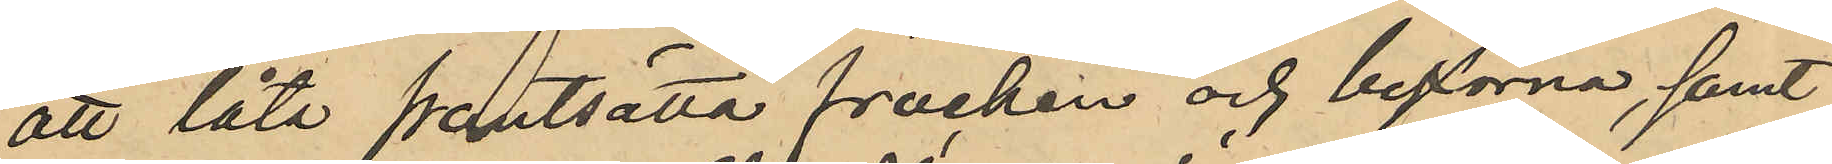att låta pantsätta fracken och byxorna, samt
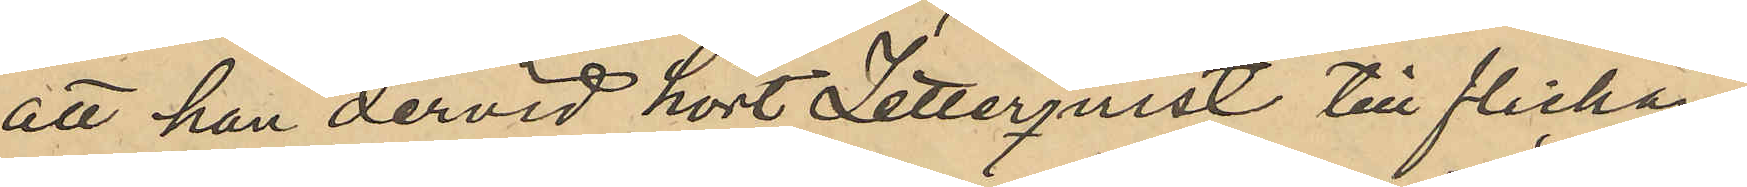att han dervid hört Zetterqvist till flickan
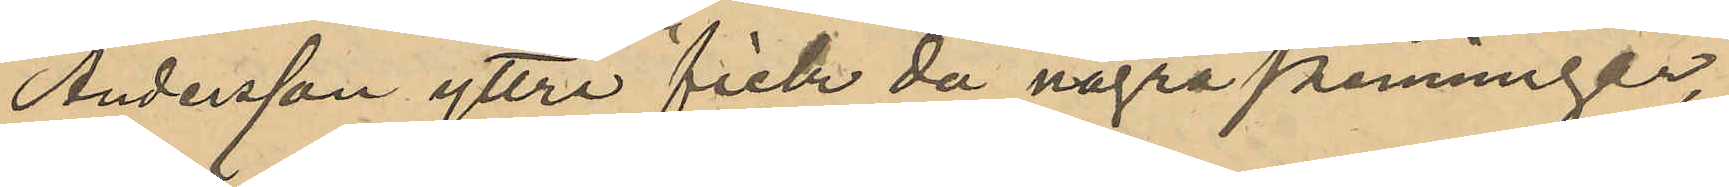Andersson yttre "fick då några penningar,
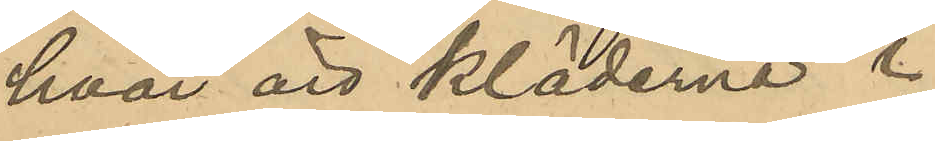hvar är kläderna"?
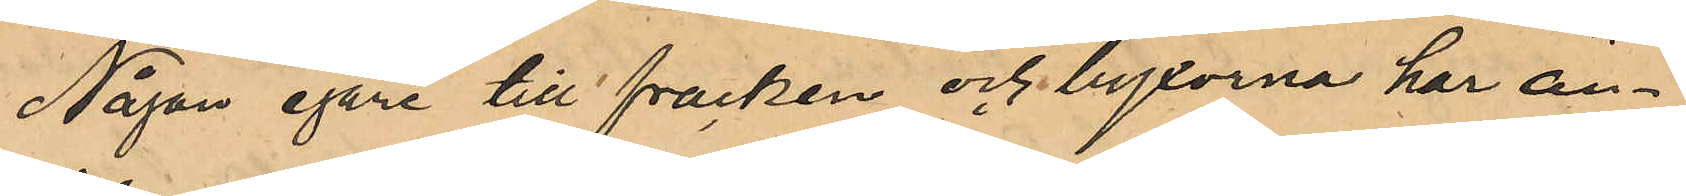Någon egare till fracken och byxorna har än¬
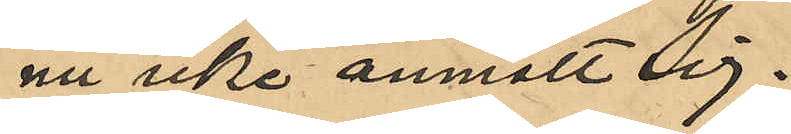nu icke anmält sig.
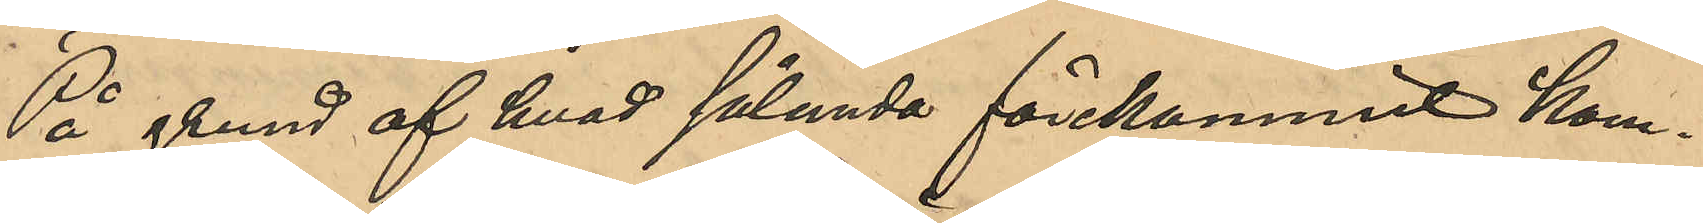På grund af hvad sålunda förekommit kom¬
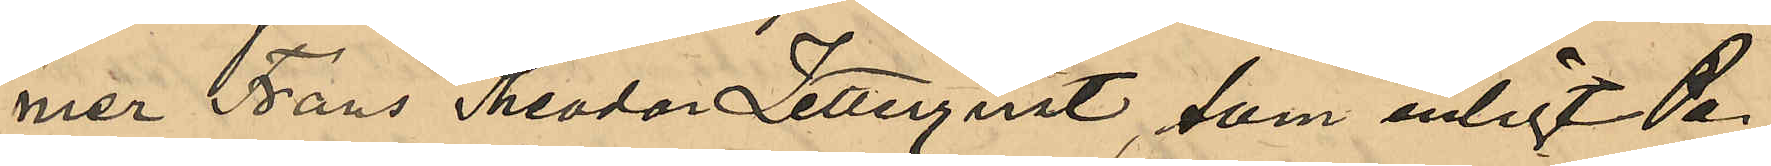mer Frans Theodor Zetterqvist, som enligt Po¬
